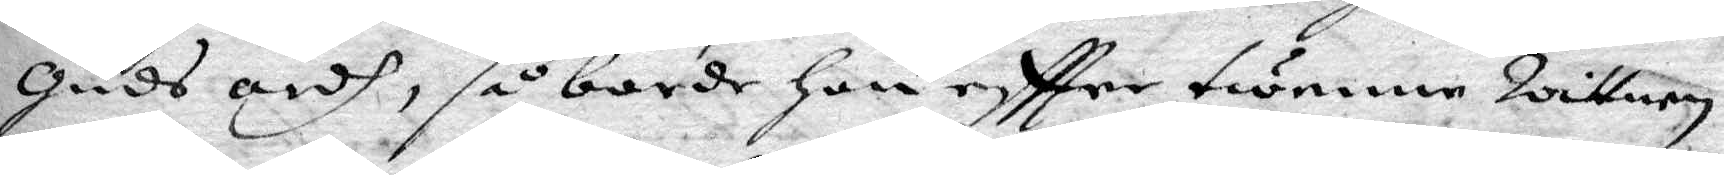guds ordh, så borde hon eftter twenne Wittnen
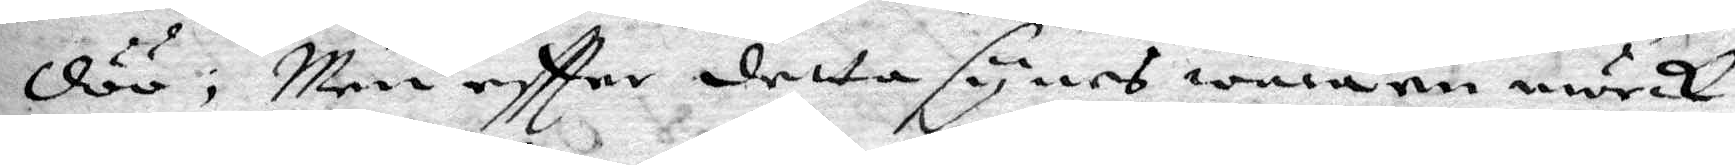döö; Men eftter detta synes wara en mörck
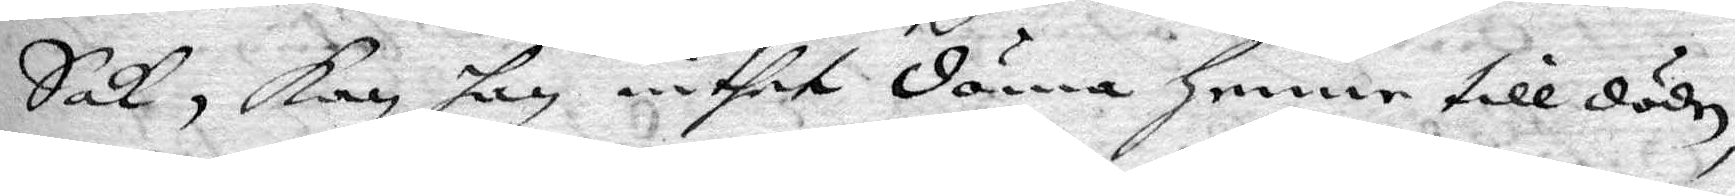Sak, kan han inthet döma henne till döden,
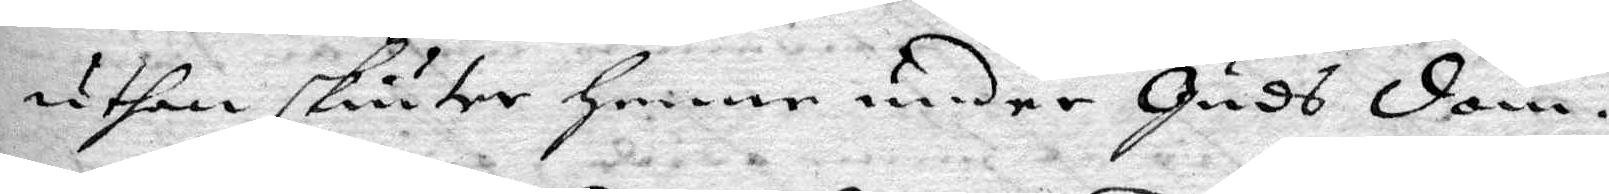uthan skiuter henne under Guss dom.
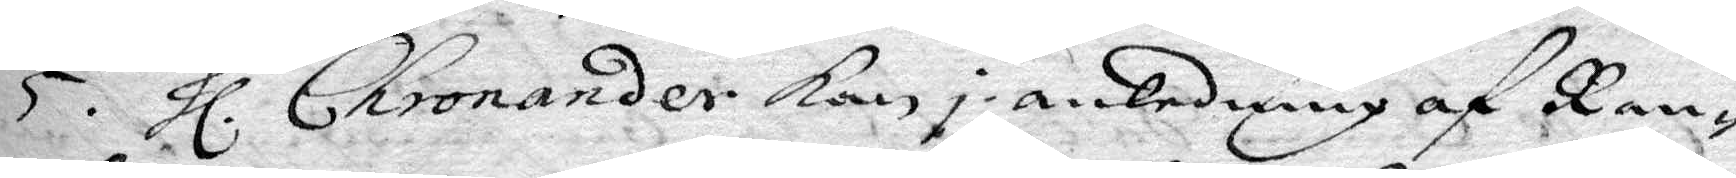5. hl. Chronander kan i anledning af Ran¬
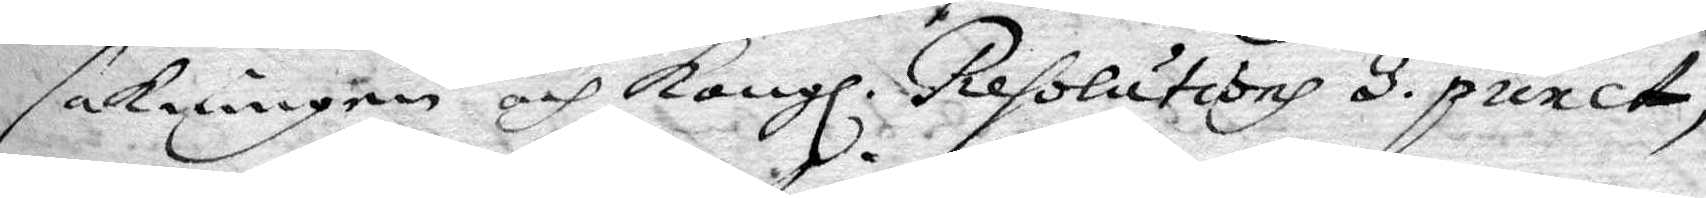sakningen och Kongl. Resolutionh 3. punct,
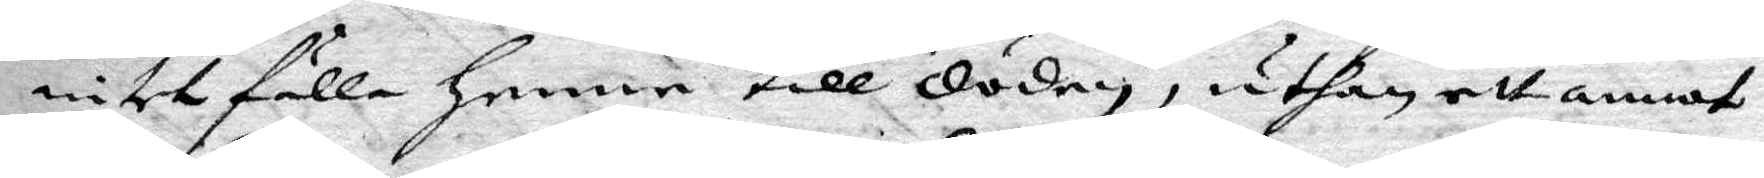intet fälla henne till döden, uthan ett annat
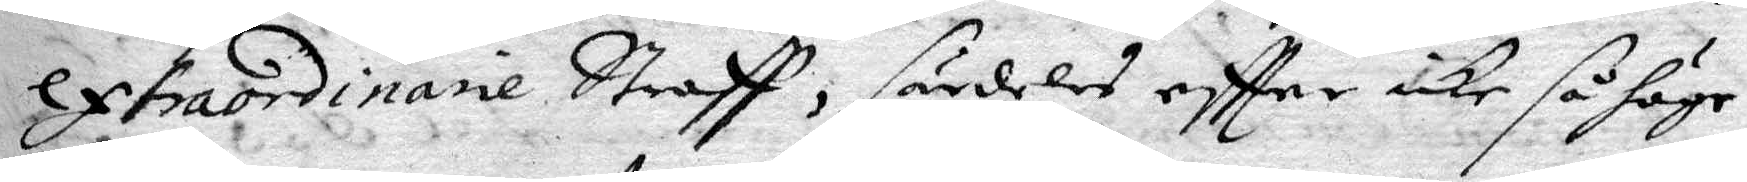extraordinarie Straff, särdeles eftter icke så höge
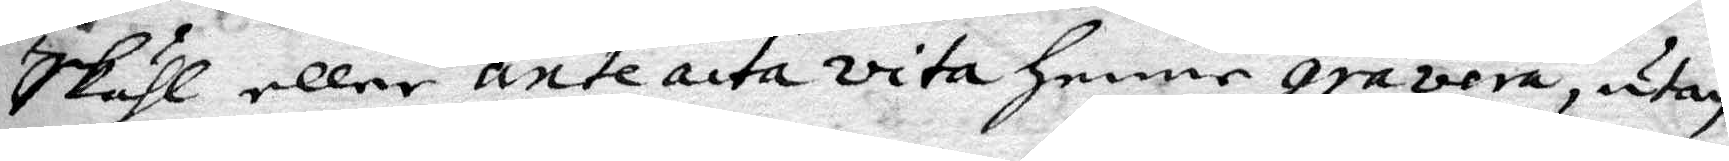Skähl eller ante acta vita henne gravera, utan
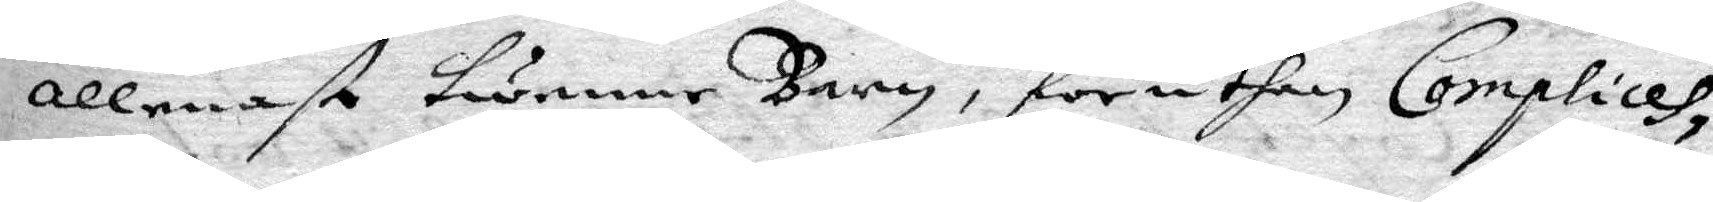allenast twenne Barn, föruthan Complices
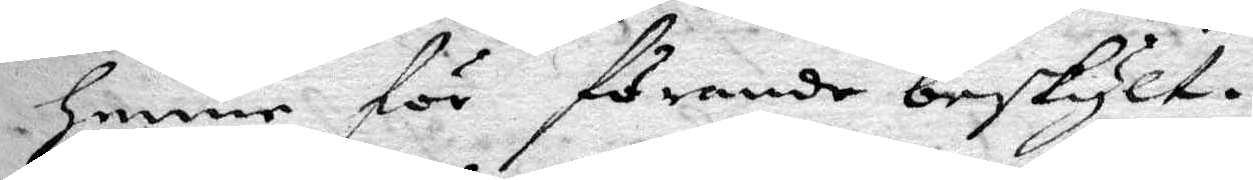henne för förande beskylt.
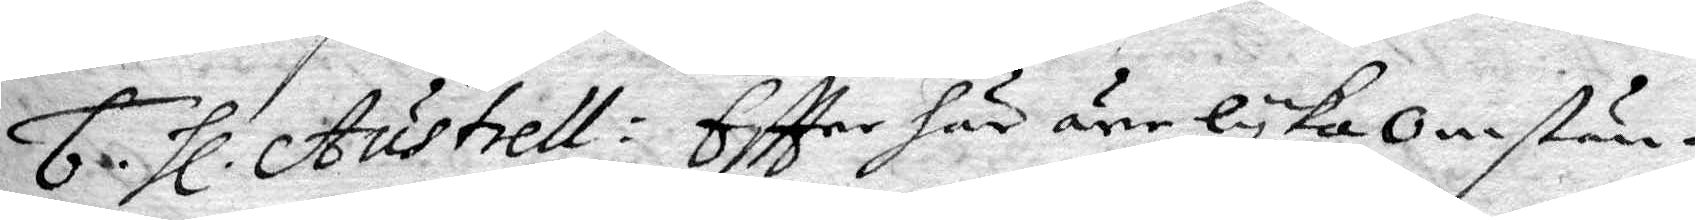6. hl. Austrell: Eftter här äre lyka omstän¬
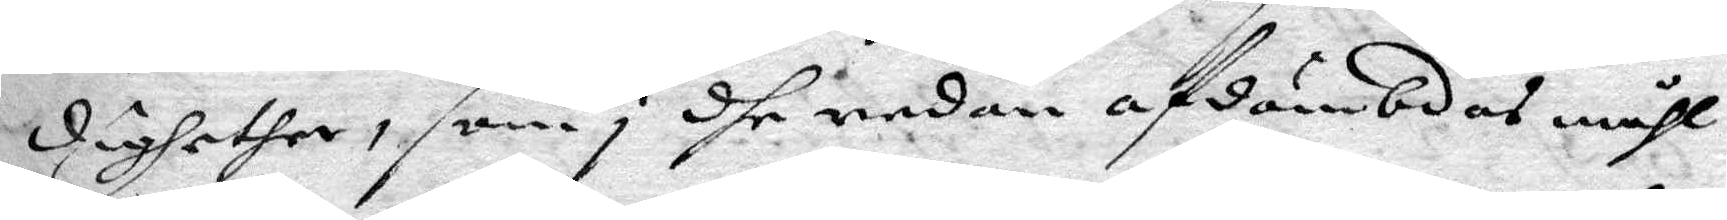dighether, som i dhe redan afdömbdes måhl
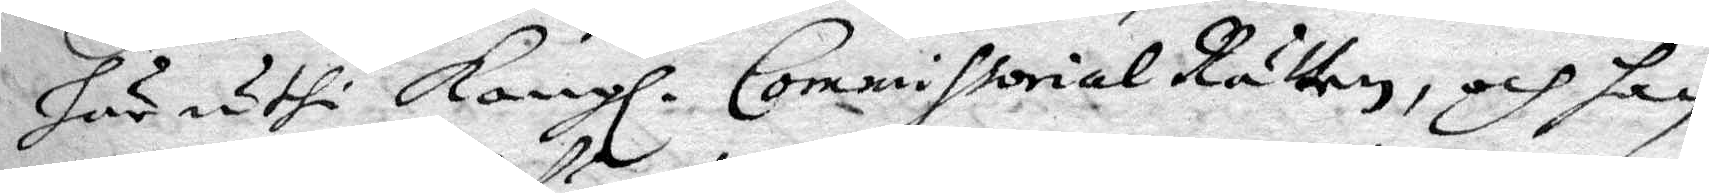här uthi Kongl. Commissorial Rätten, och han
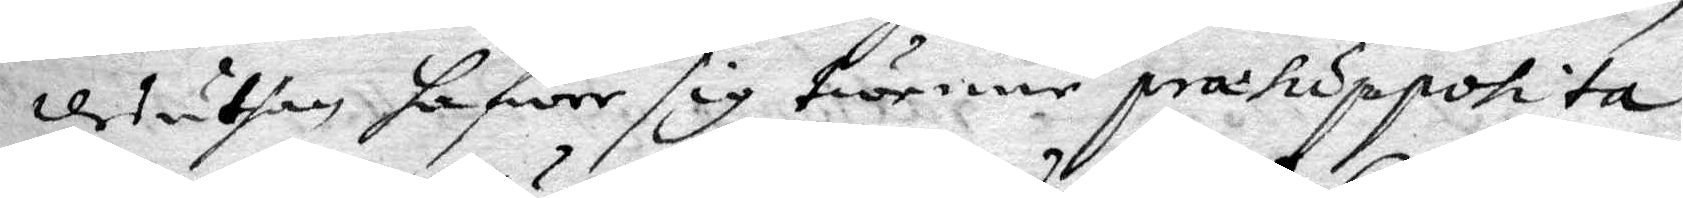desuthan hafwer sig twenne præsuppotita
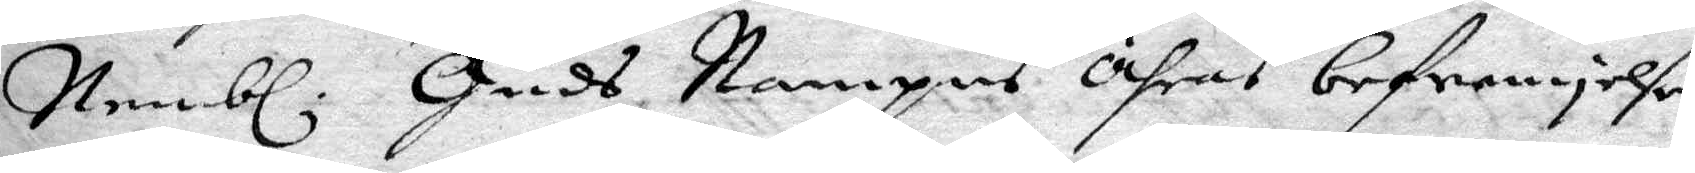Nembl. Guds Nampn Ähras befremjelse
